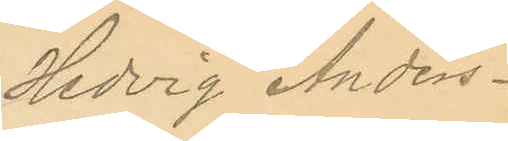Hedvig Anders¬
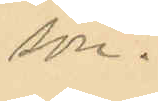son.
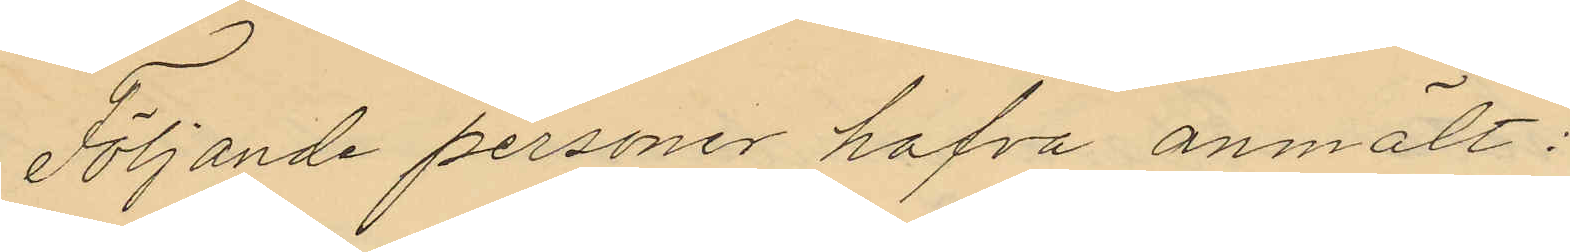Följande personer hafva anmält:
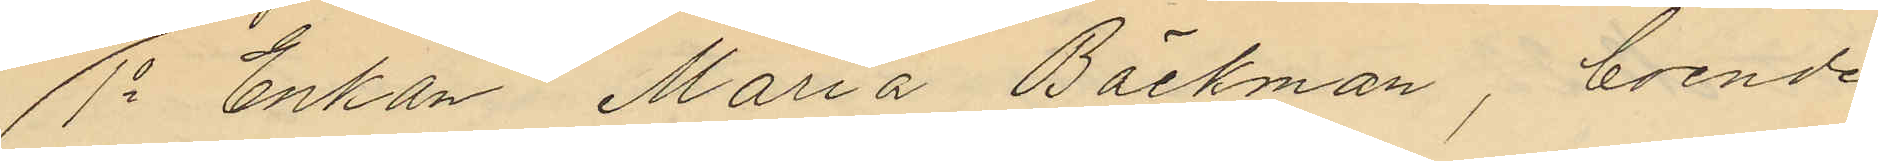1o Enkan Maria Bäckman, boende
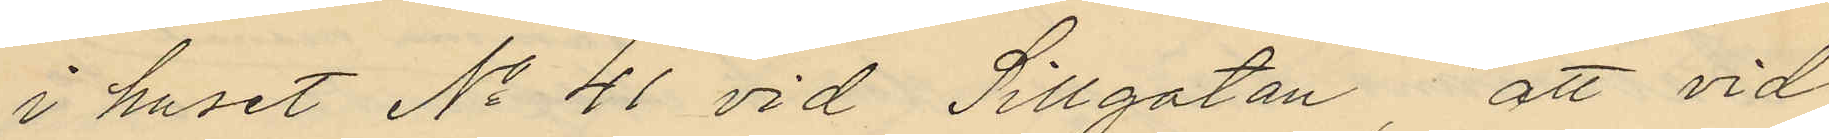i huset No 41 vid Sillgatan, att vid
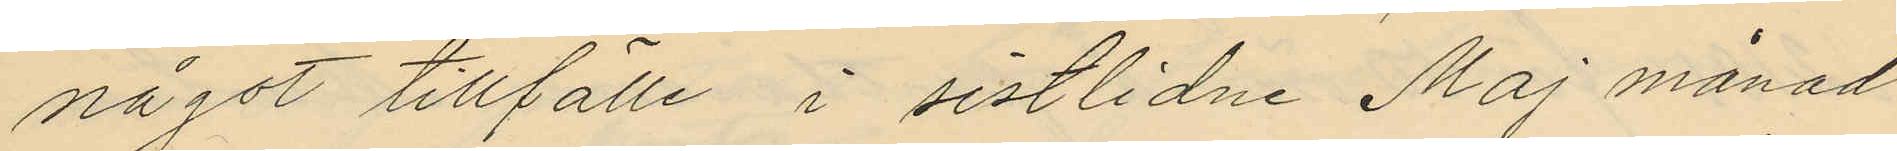något tillfälle i sistlidne Maj månad
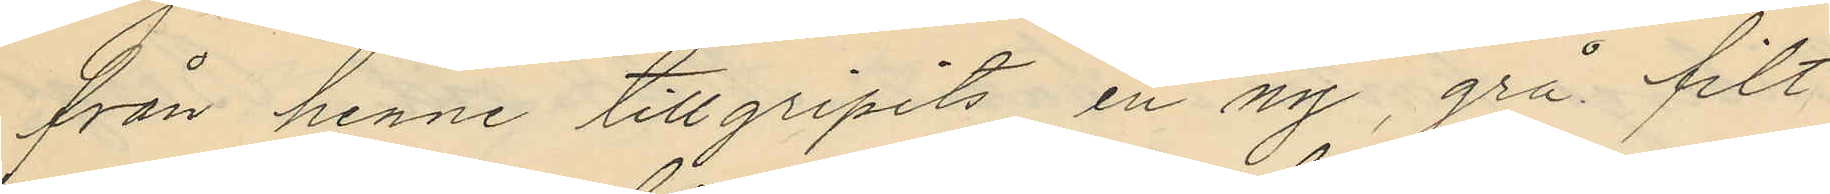från henne tillgripits en ny, grå filt
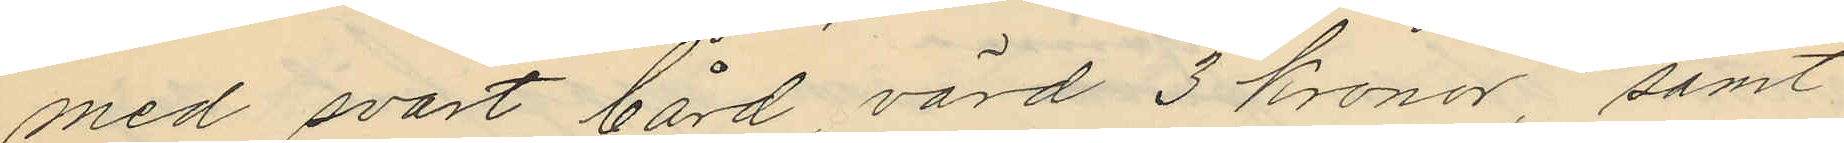med svart bård värd 3 kronor, samt
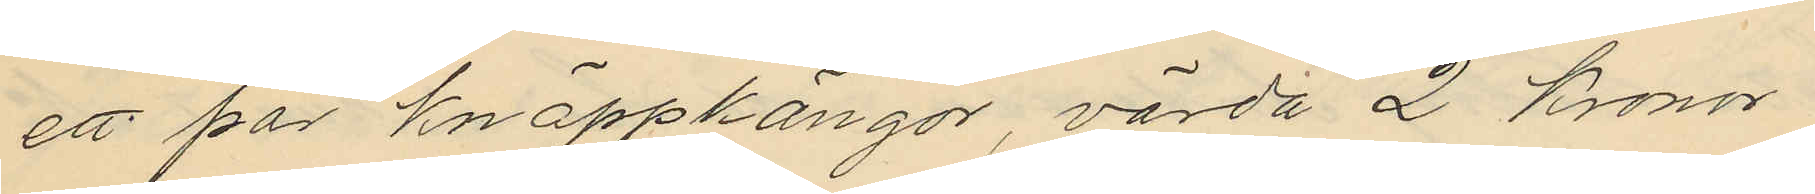ett par knäppkängor, värda 2 kronor
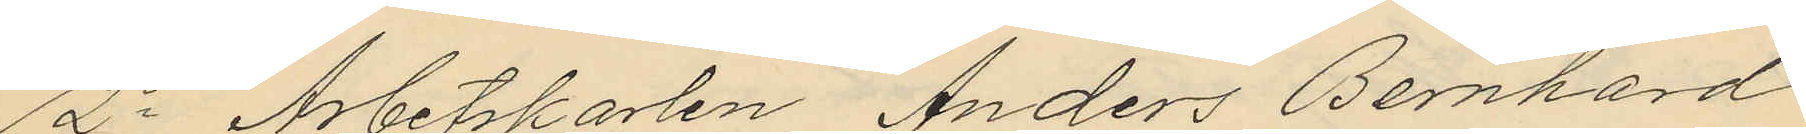2o Arbetskarlen Anders Bernhard
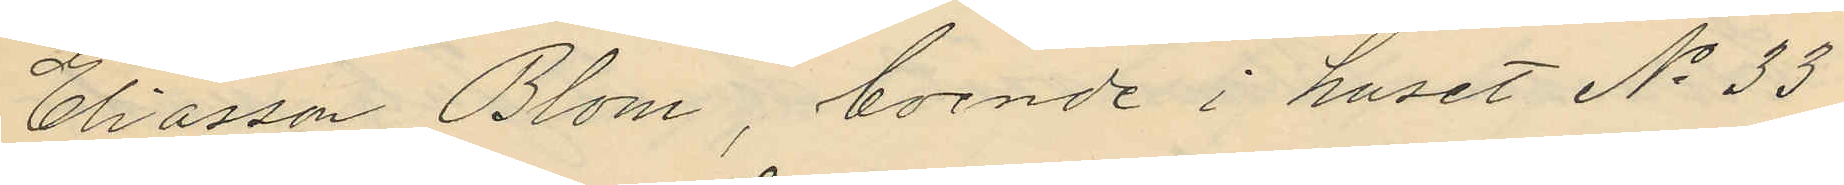Eliasson Blom, boende i huset No 33
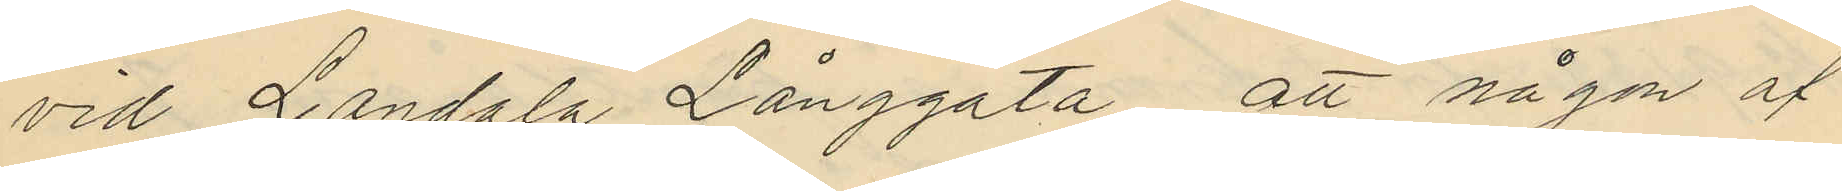vid Landala Långgata att någon af
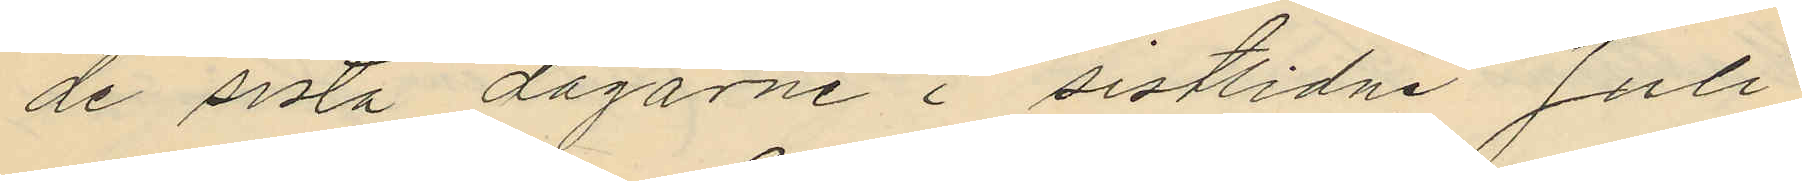de sista dagarne i sistlidne Juli
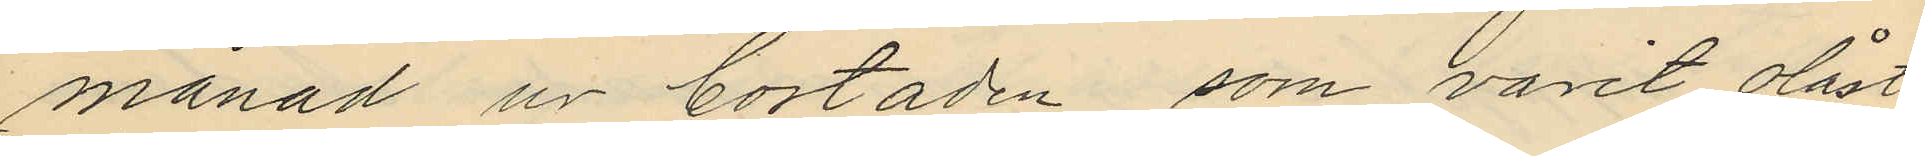månad ur bostaden, som varit olåst
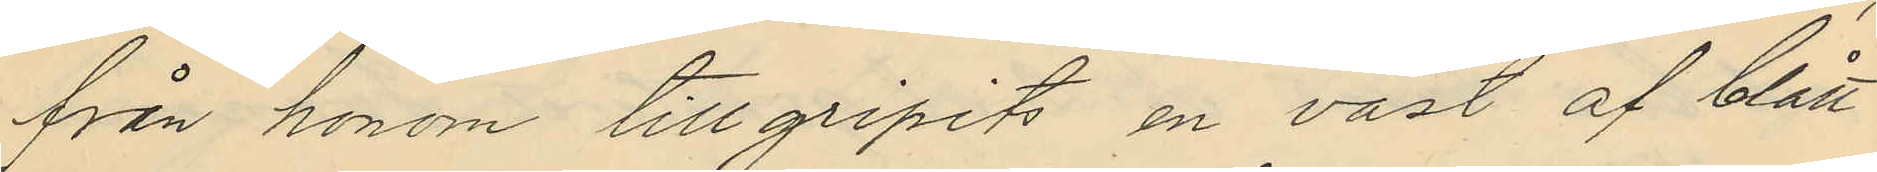från honom tillgripits en väst af blått
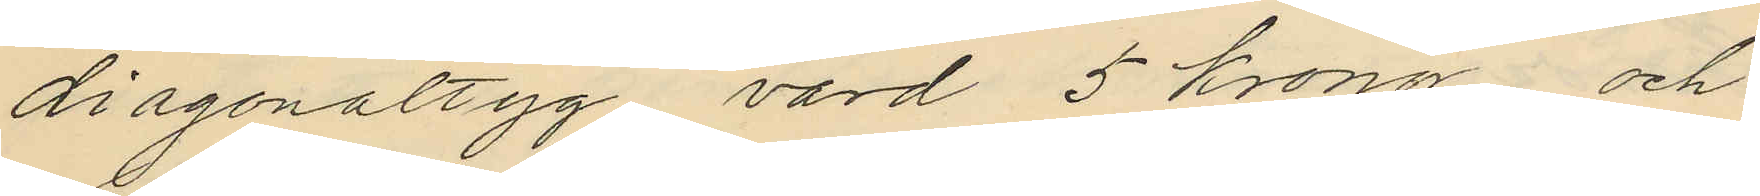diagonaltyg värd 5 kronor och
